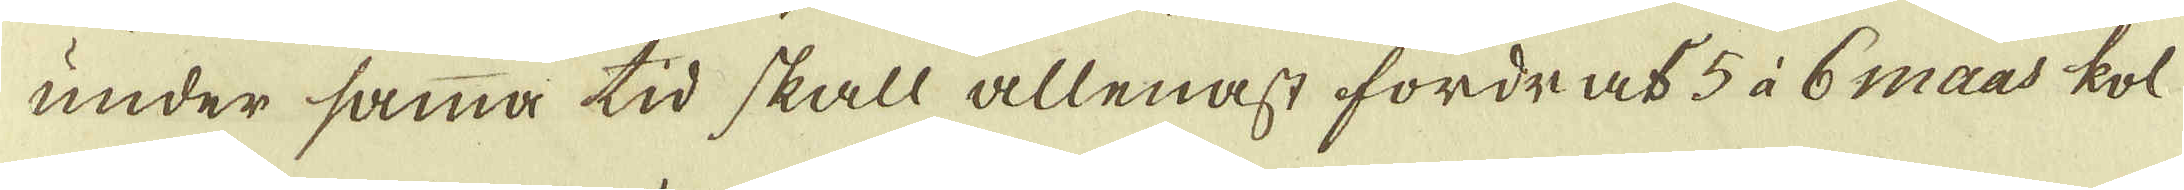under samma tid skall allenast fordras 5 à 6 maas kol
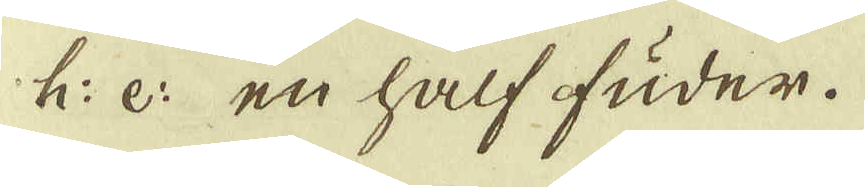h: e: en half fuder.
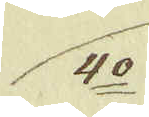4:o
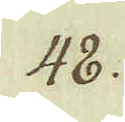48.
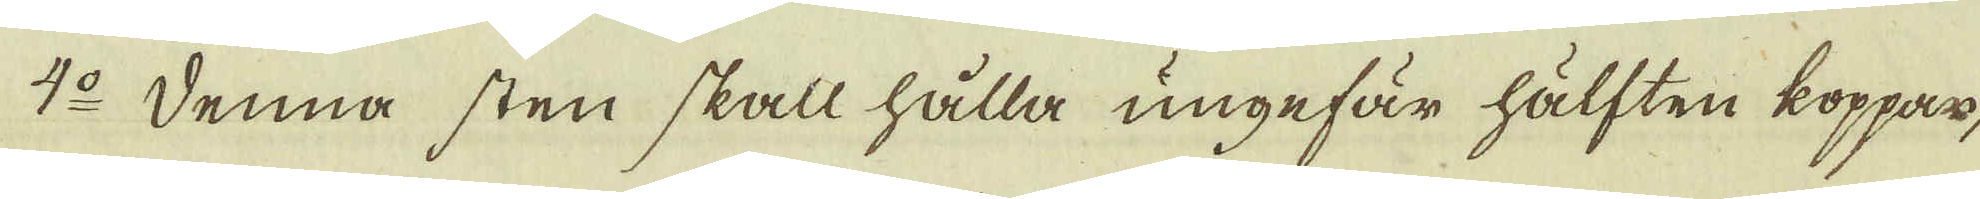4:o Denna sten skall hålla ungefär hälften koppar-
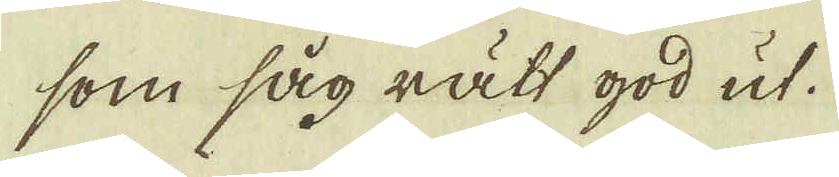som såg rätt god ut.
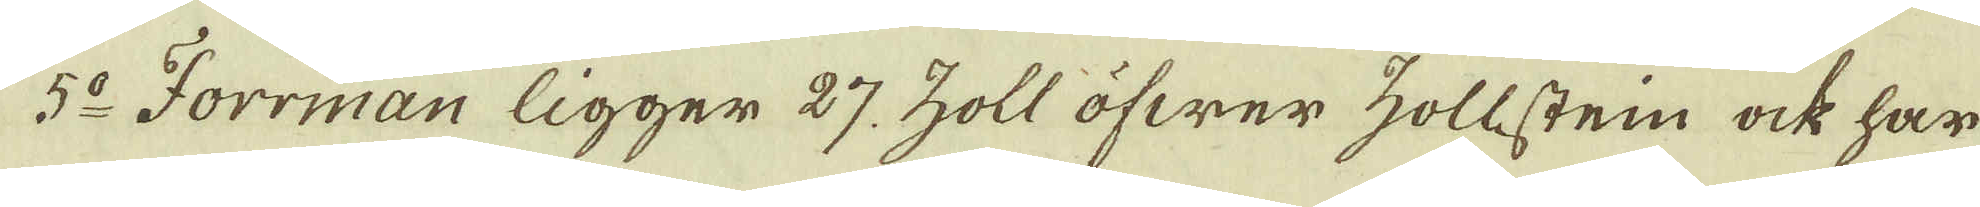5:o Forrman ligger 27, zoll öfwer zollstein ock har
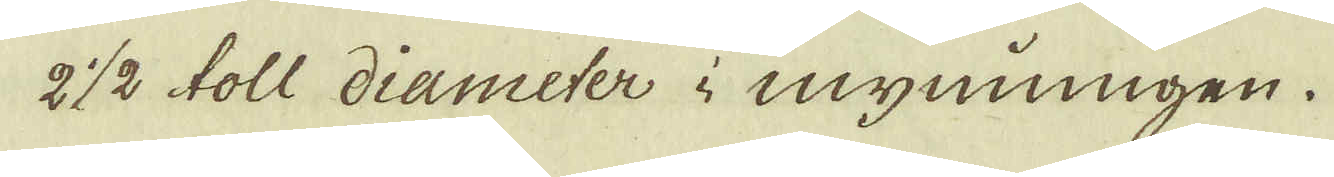2 1/2 toll diameter i mynningen.
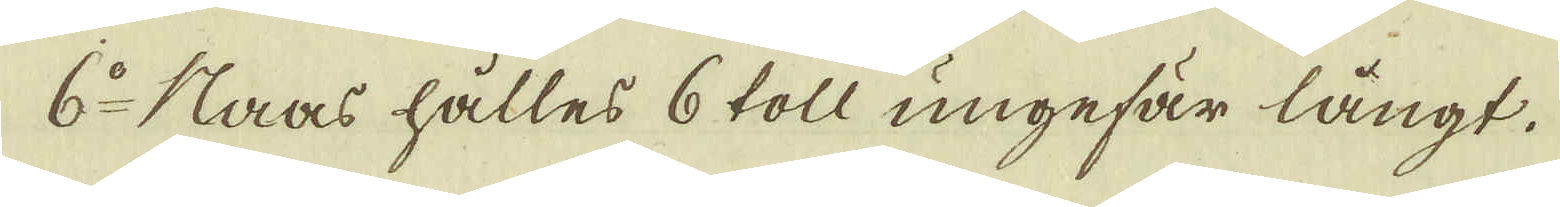6:o Naas hålles 6 toll ungefär långt.
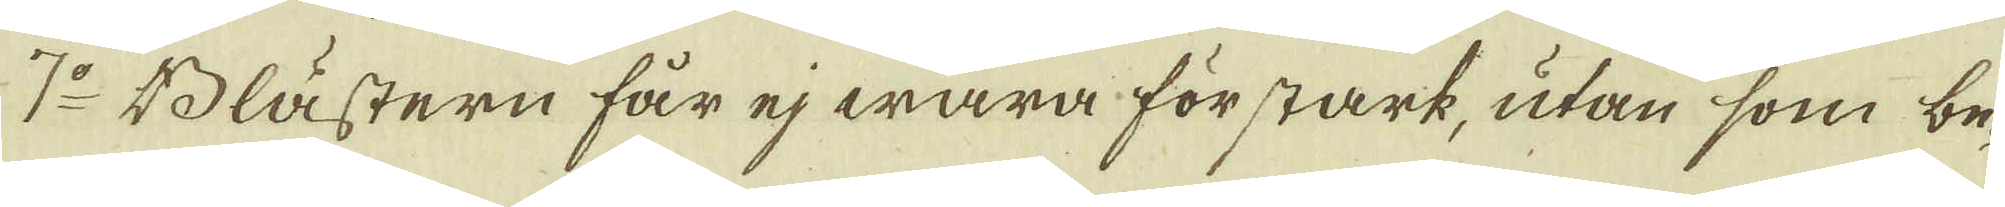7:o Blästern får ej wara för stark, utan som be-
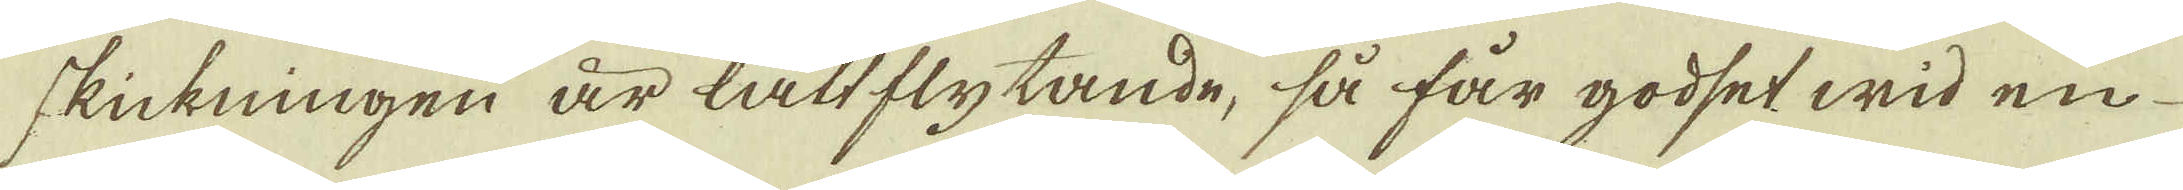skickningen är lättflytande, så får godset wid en
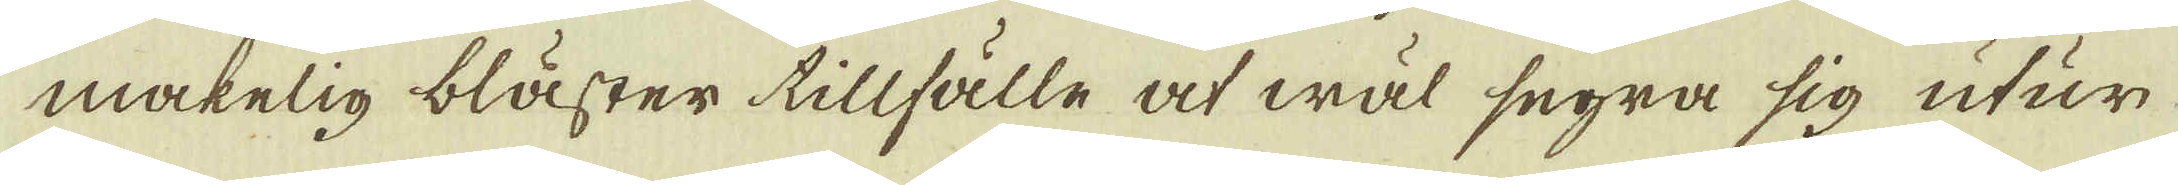makelig bläster tillfälle at wäl segra sig utur
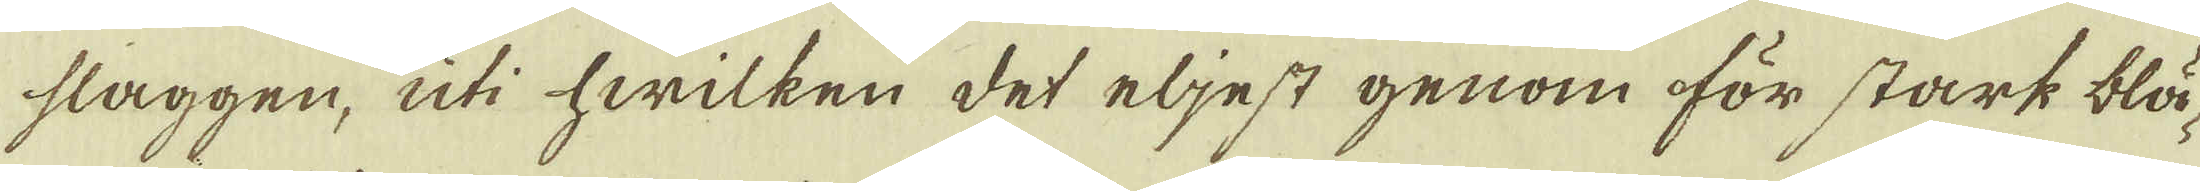slaggen, uti hwilken det eljest genom för stark blä-
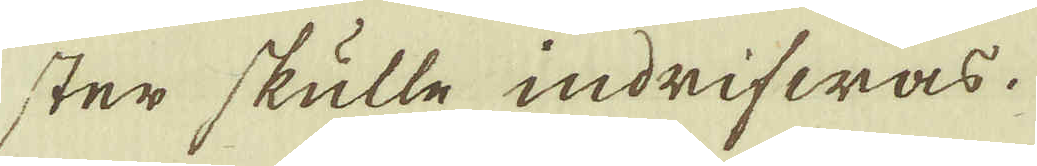ster skulle indrifwas.
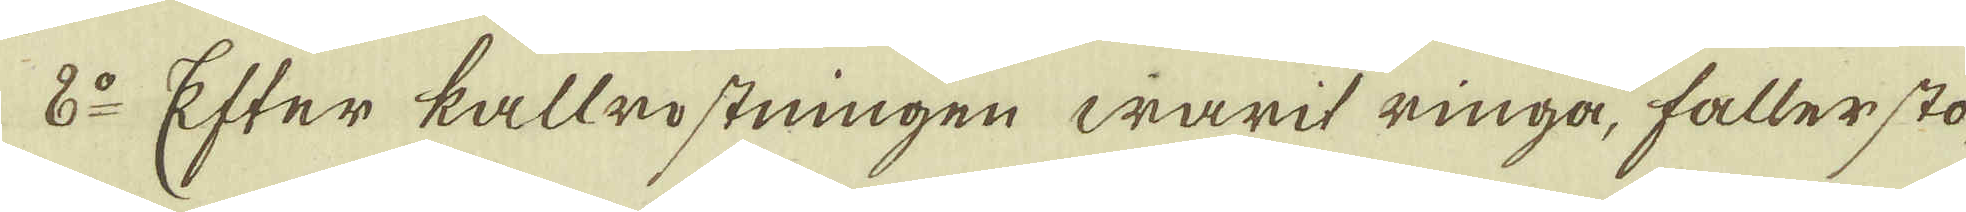8:o Efter kallrostningen warit ringa, faller sto-
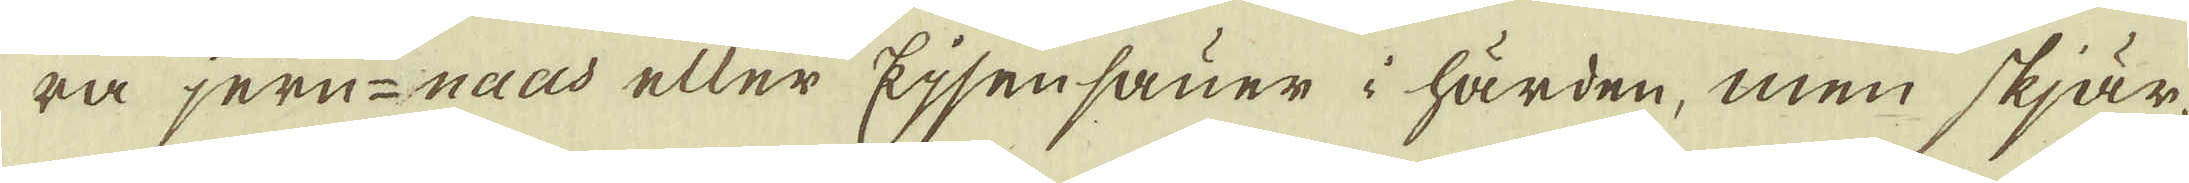ra jern-naas eller Ejsensauer i härden, men skjär-
